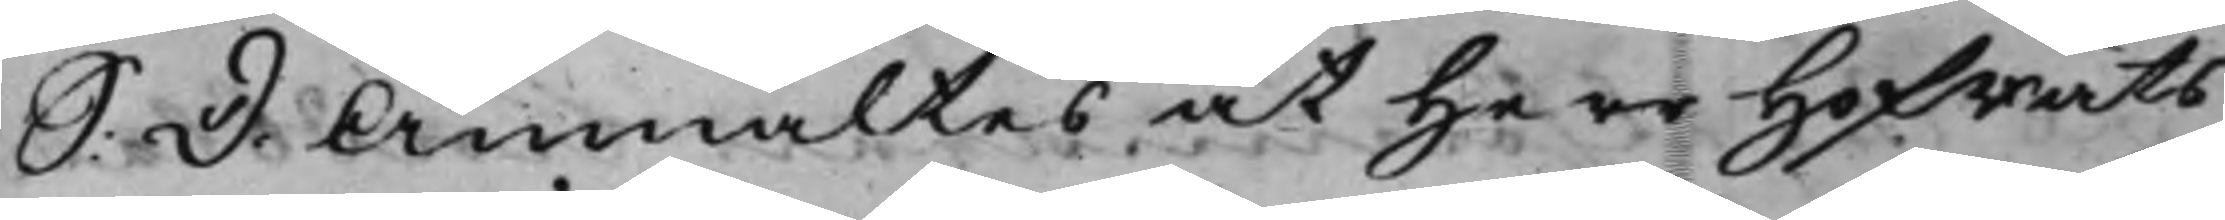S: D: Anmältes at HofRäts¬
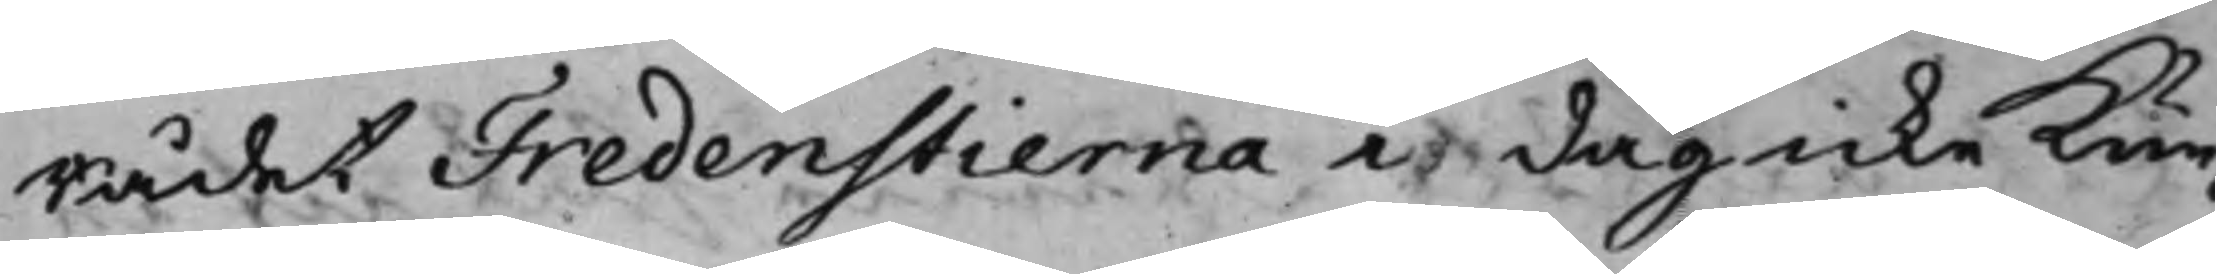Rådet Fredenstierna i dag icke kun¬
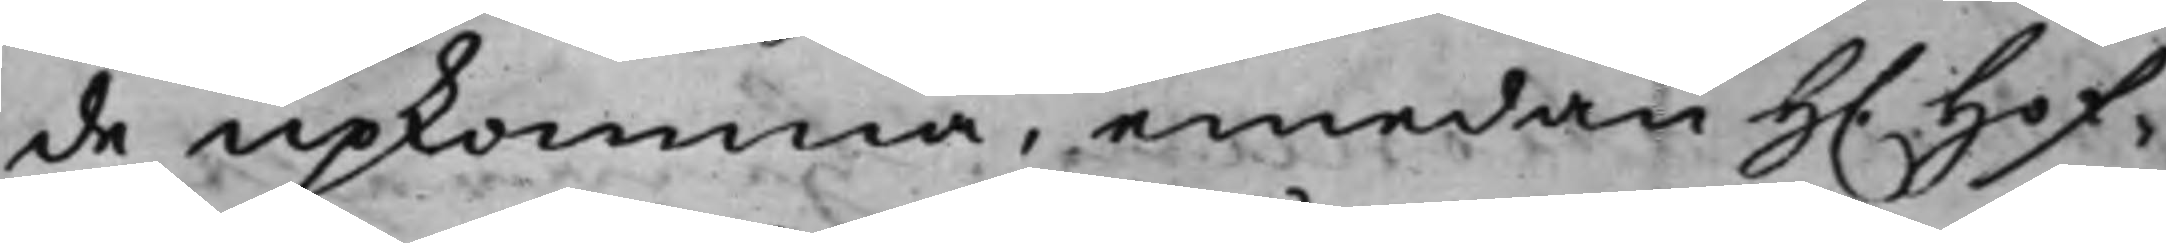de upkomma, emedan H. Hof¬
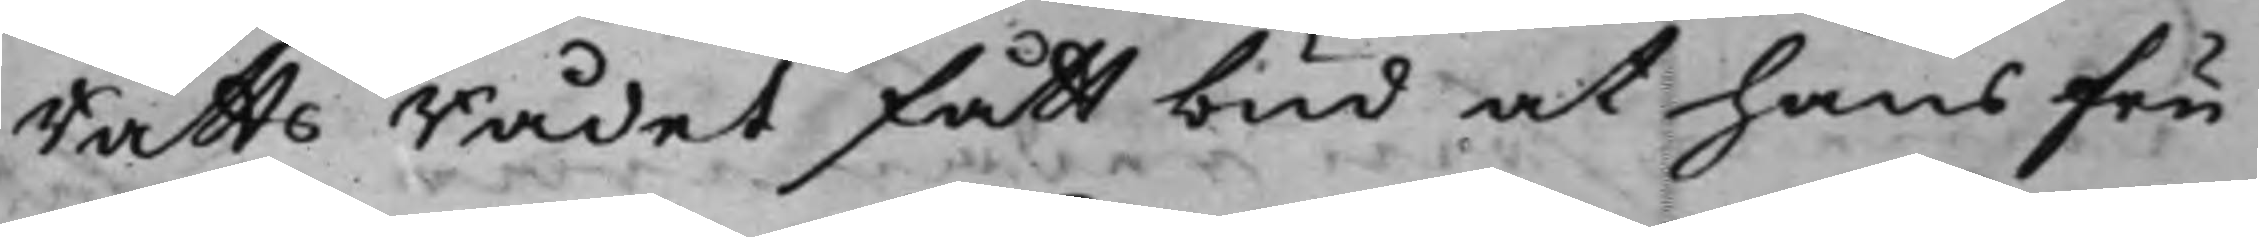RättsRådet fått bud at hans Fru
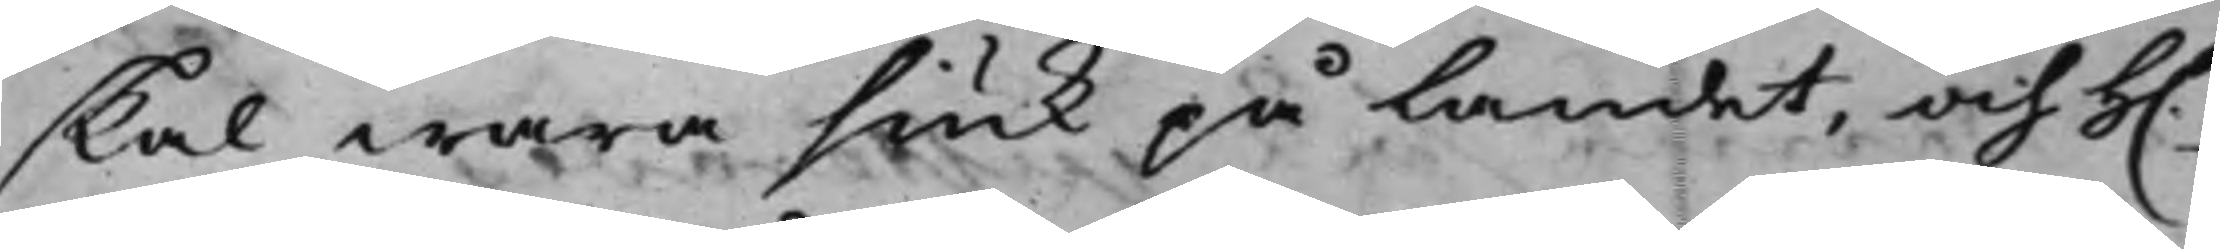skal wara siuk på landet, och H.
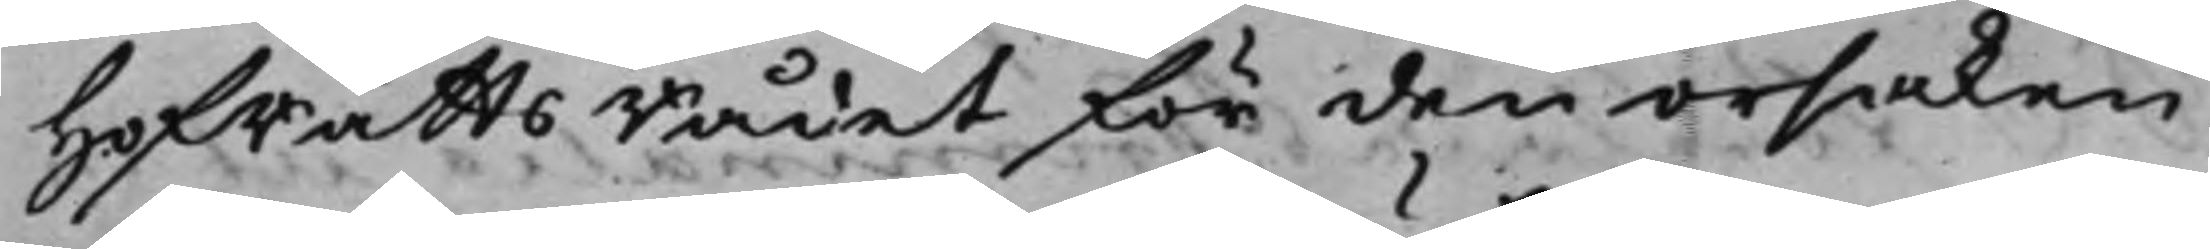HofRättsRådet för den orsaken
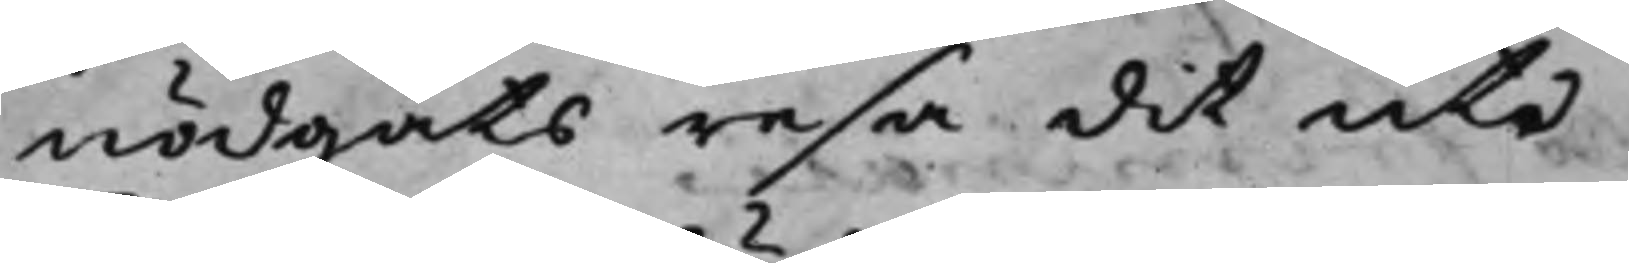nödgats resa dit ute
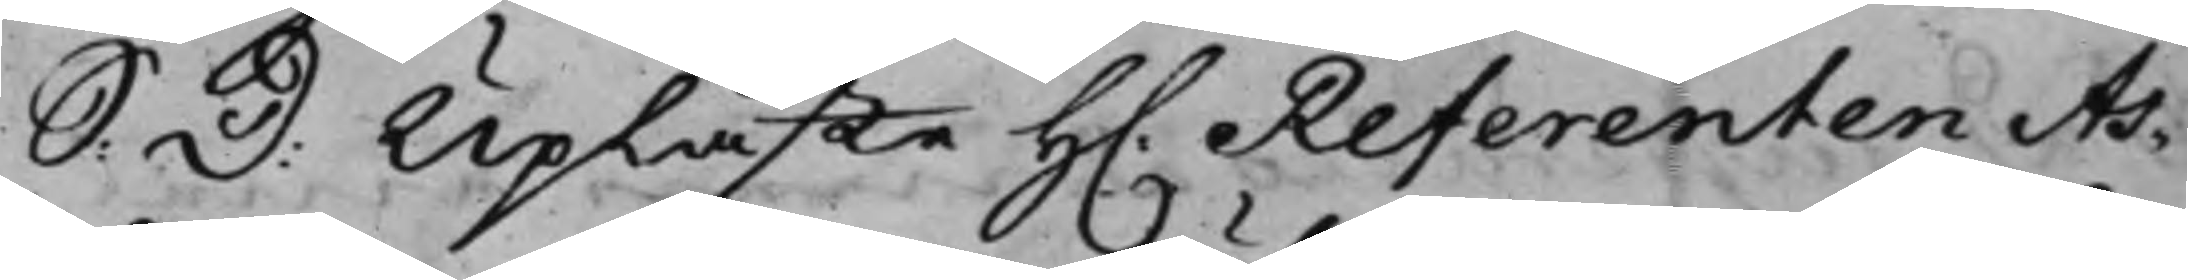S: D: Upläste H. Referenten As¬
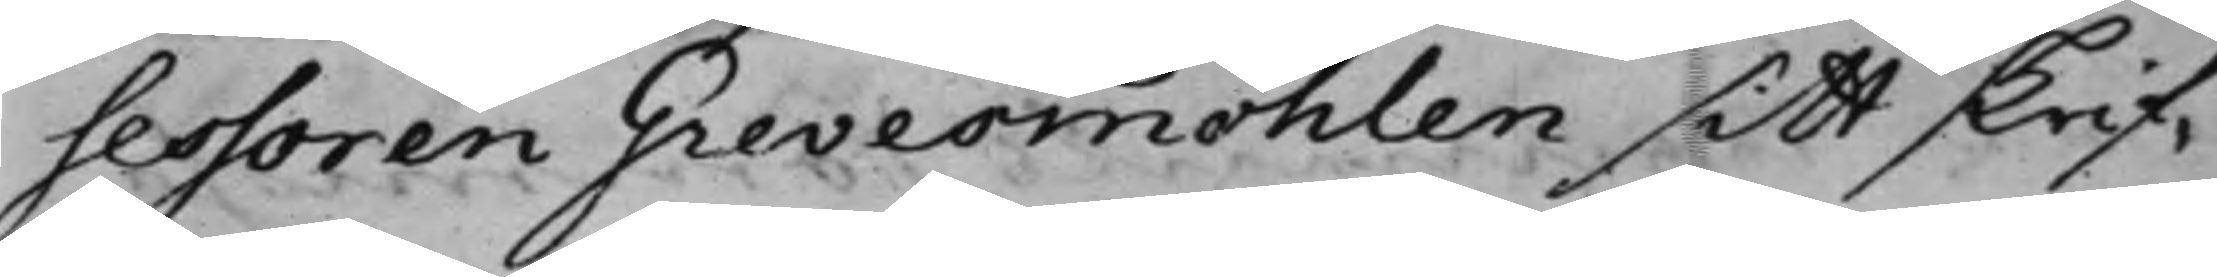sessoren Grevesmöhlen sitt skrif¬
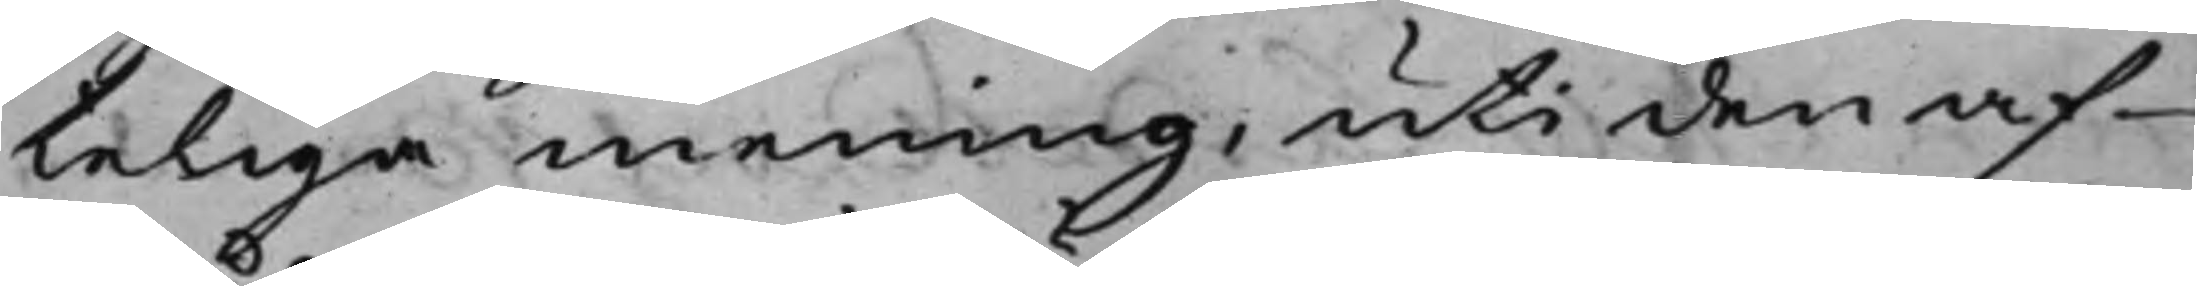teliga mening, uti den af
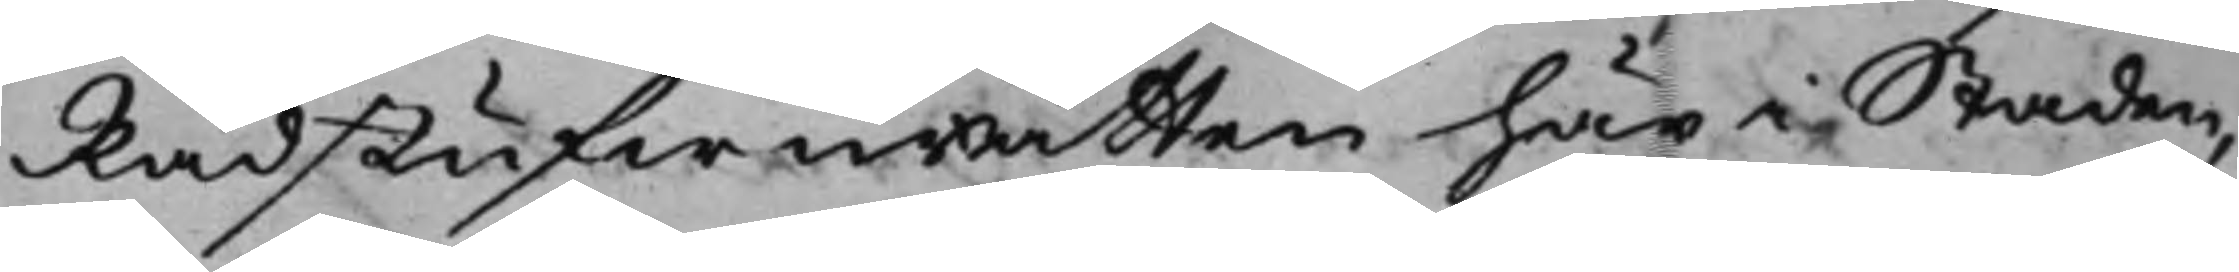Rådstufwurätten här i Staden,
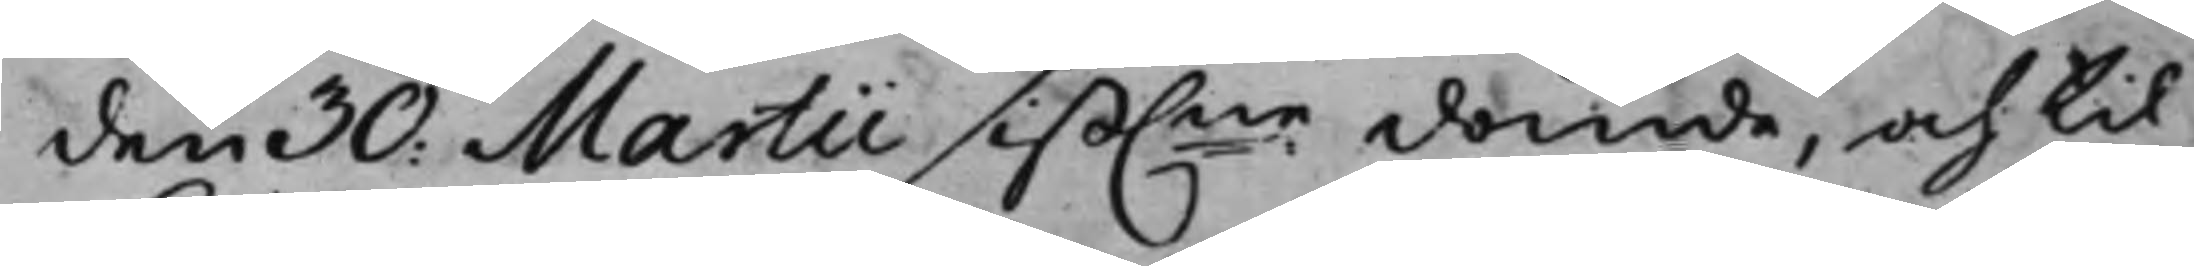den 30. Martii sist.ne dömde, och til
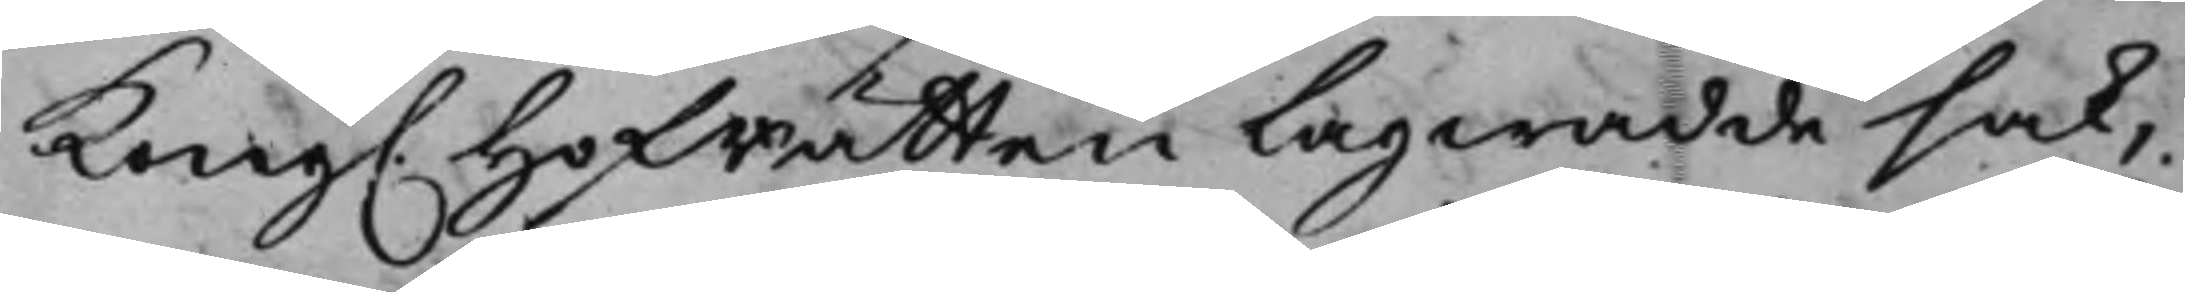Kong. Hofrätten Lagwadde sak,
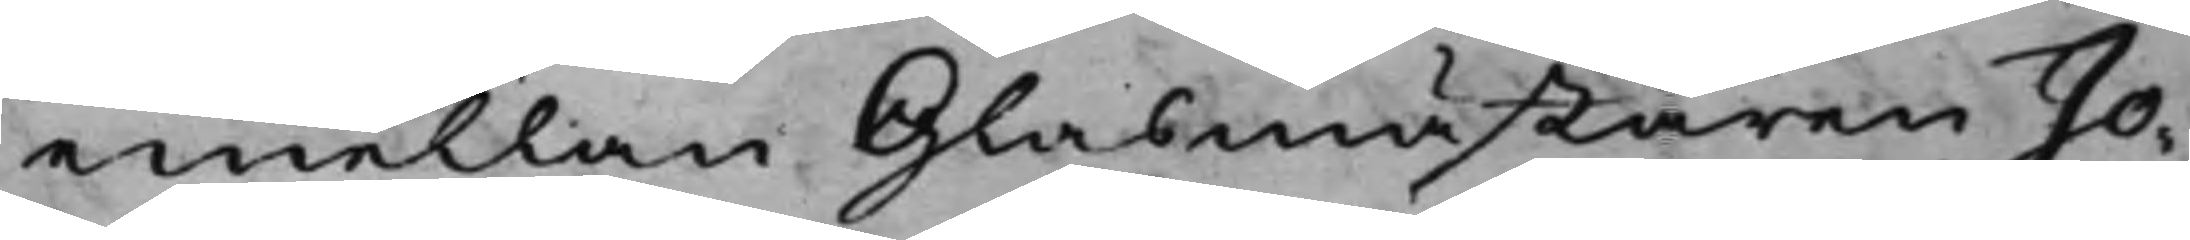emellan Glasmästaren Jo¬
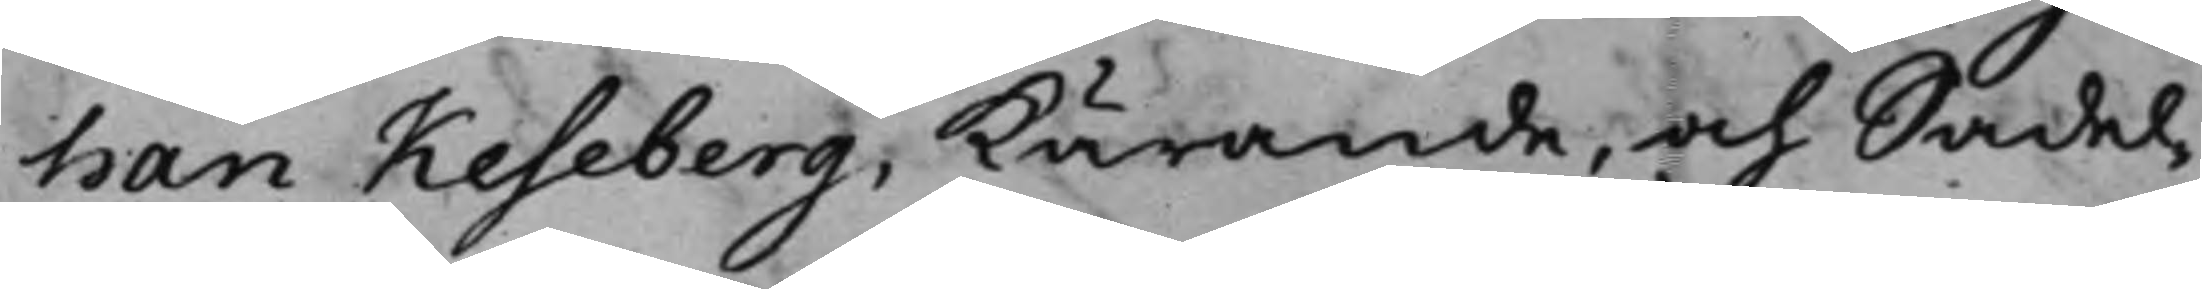han Keseberg, kärande, och Sadel¬
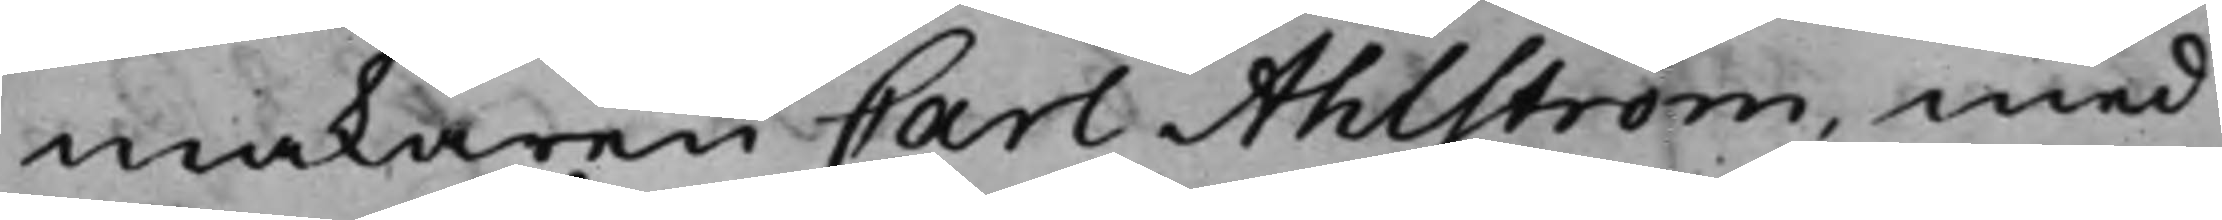makaren Carl Ahlström, med
